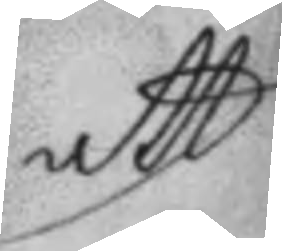att
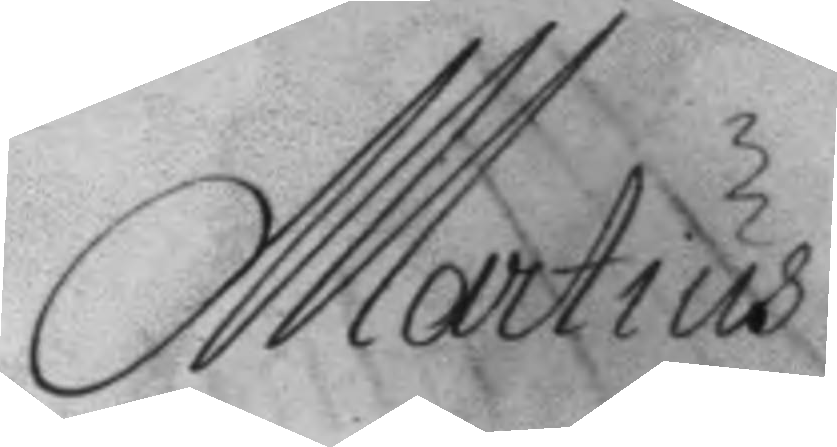Martius
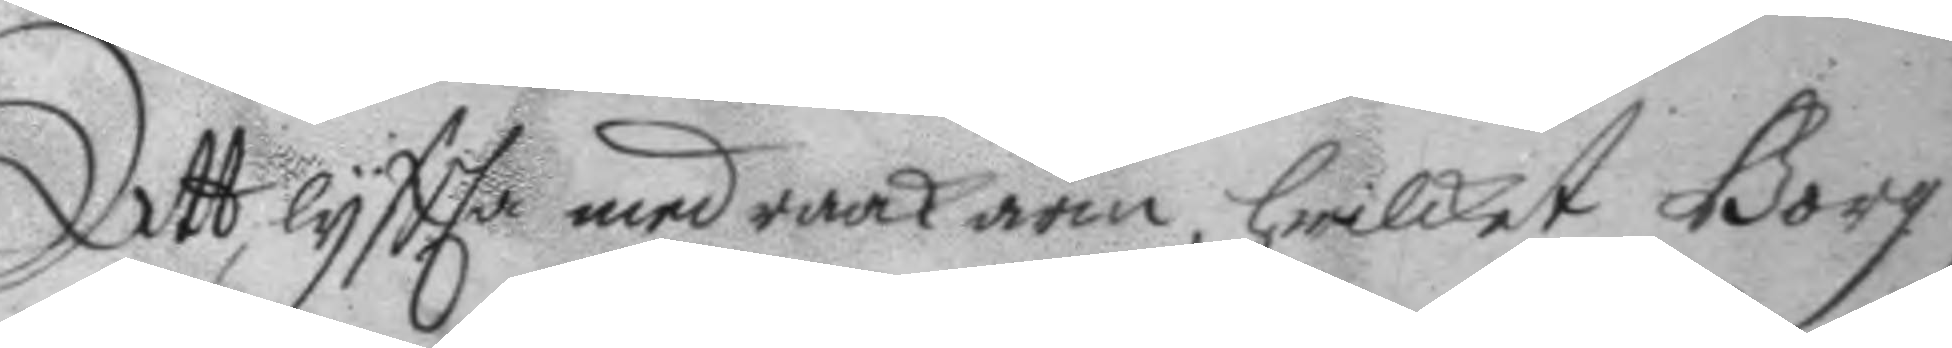Att lyftta med raak arm, hwilket Borg
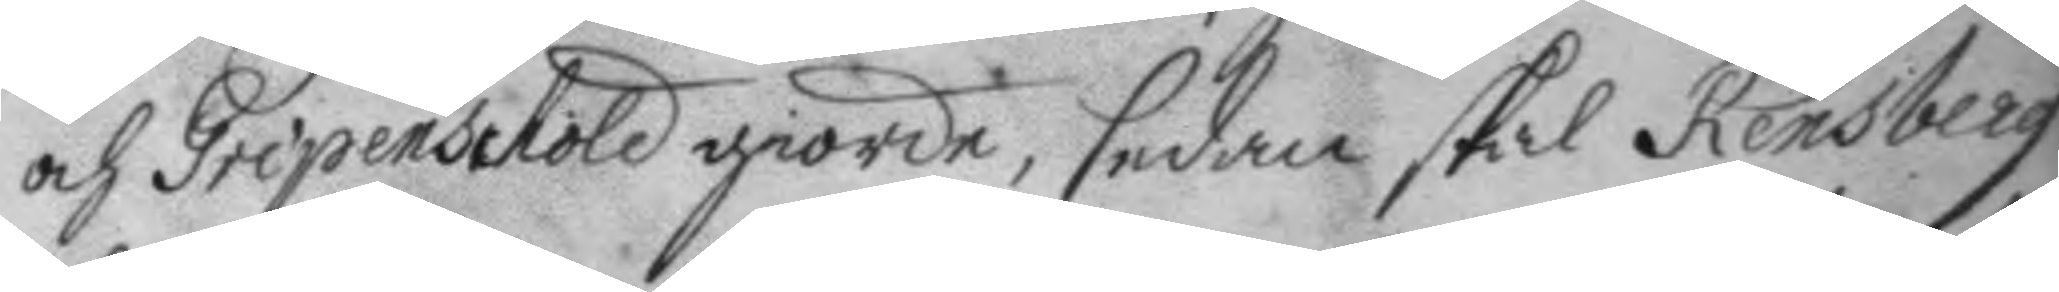och Gripenshöld giorde, sedan skal Rensberg
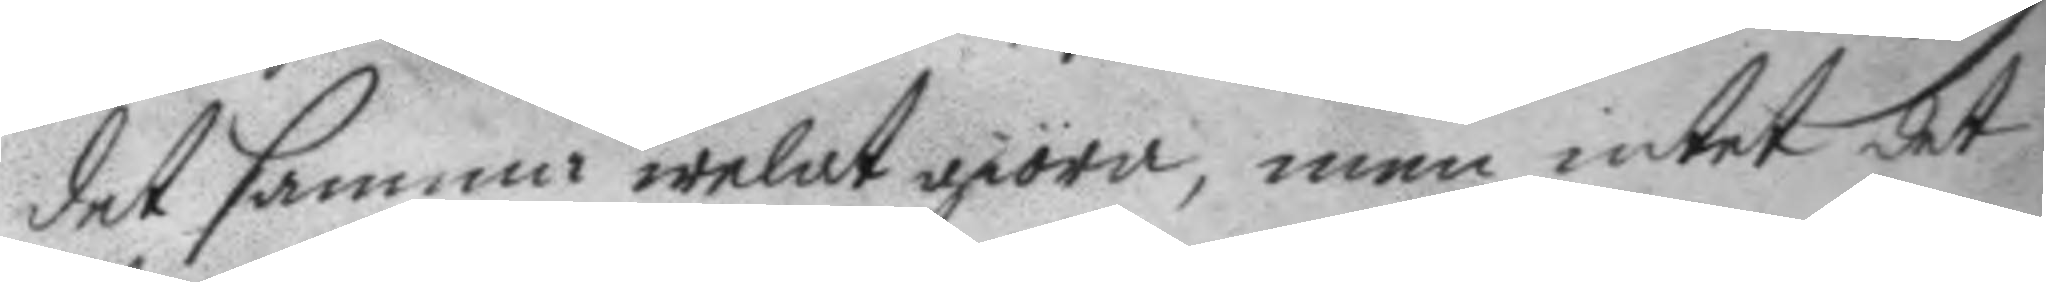det samma welat giöra, men intet det
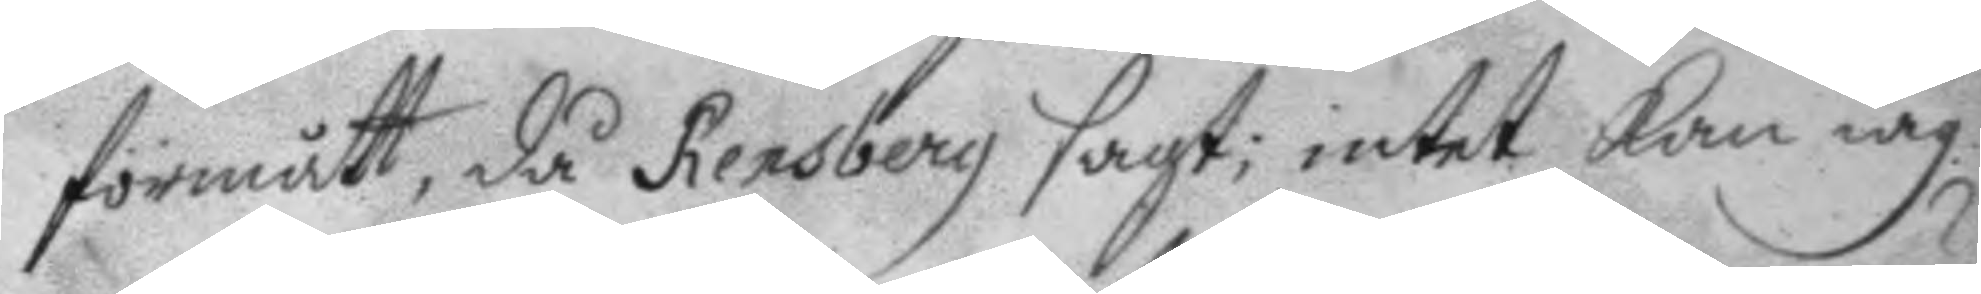förmått, då Rensberg sagt: intet kan iag
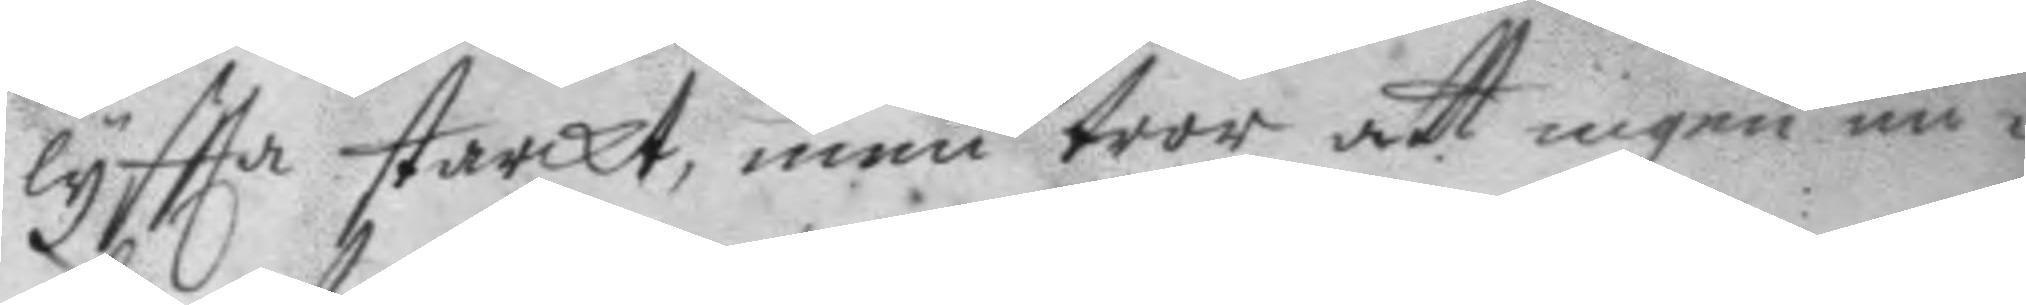lyftta starkt, men tror att ingen un¬
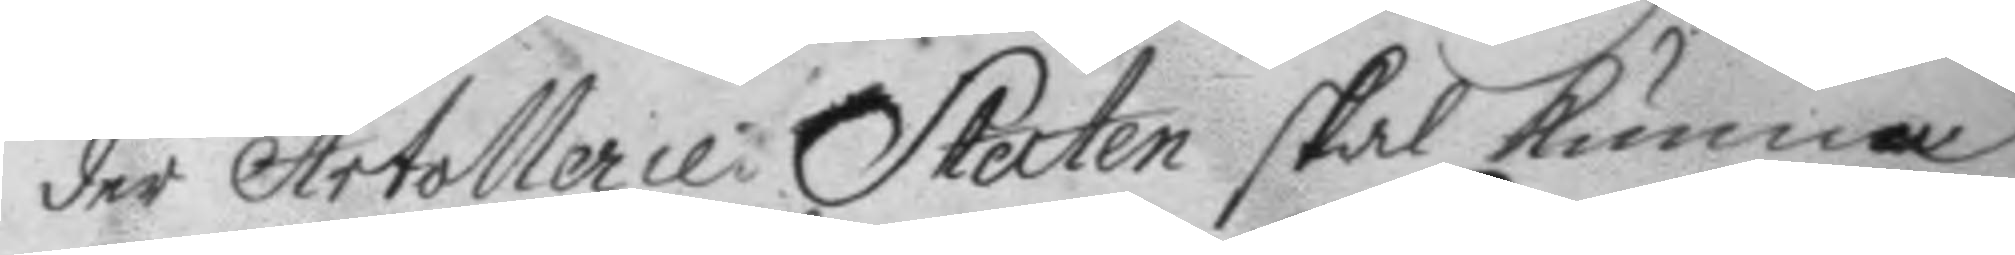der Artollerie Staten skal kunna
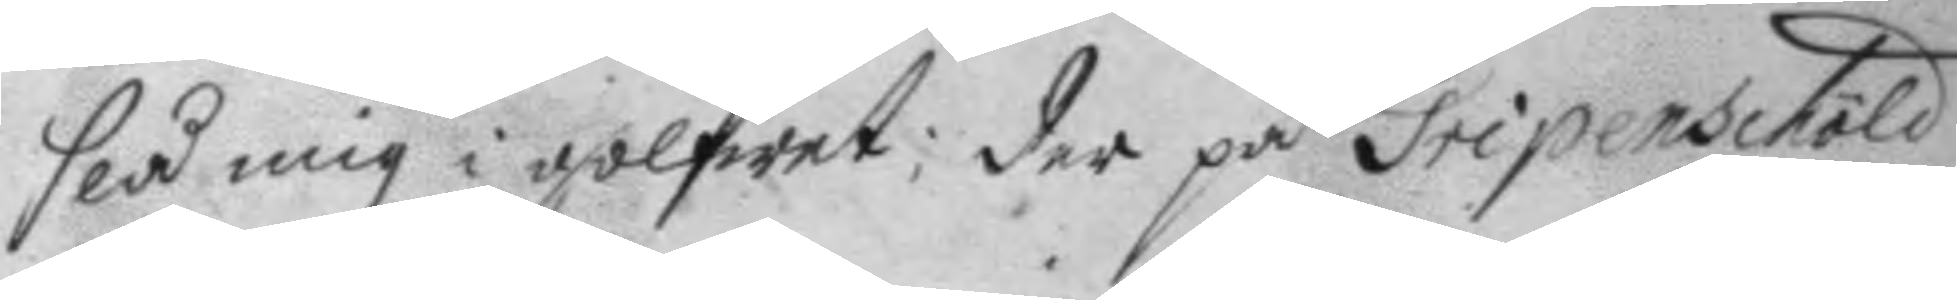slå mig i golfwet; der på Gripenschöld
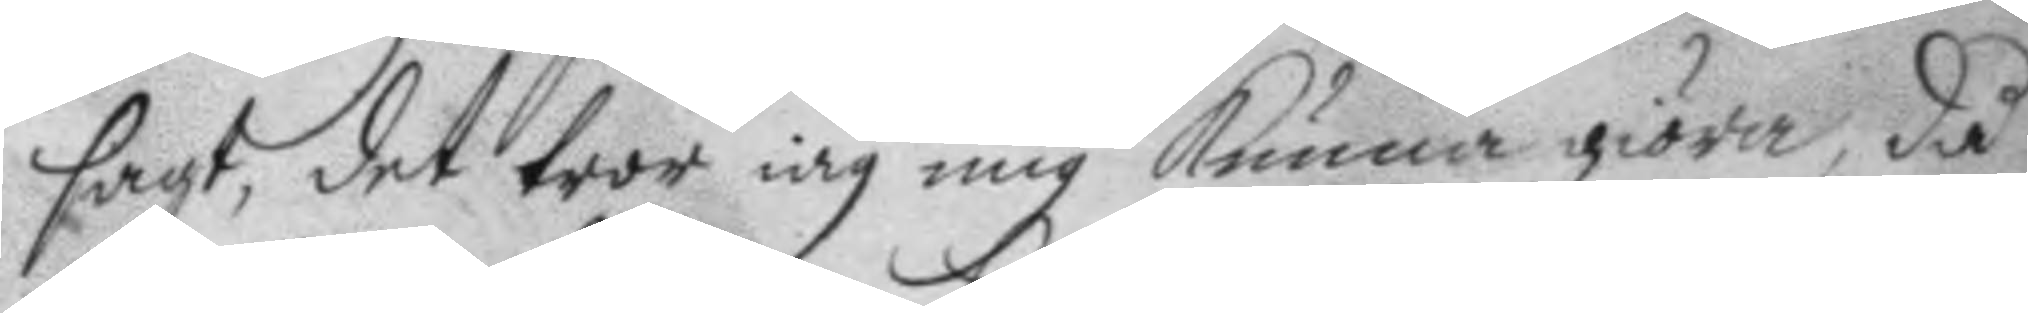sagt, det tror iag mig kunna giöra, då
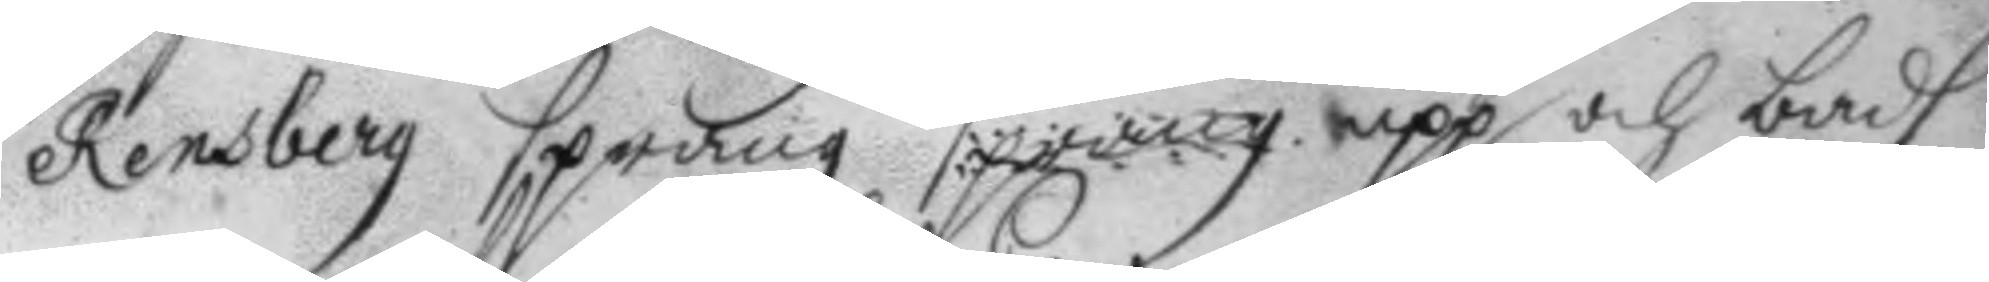Rensberg sprang sprang upp och badh
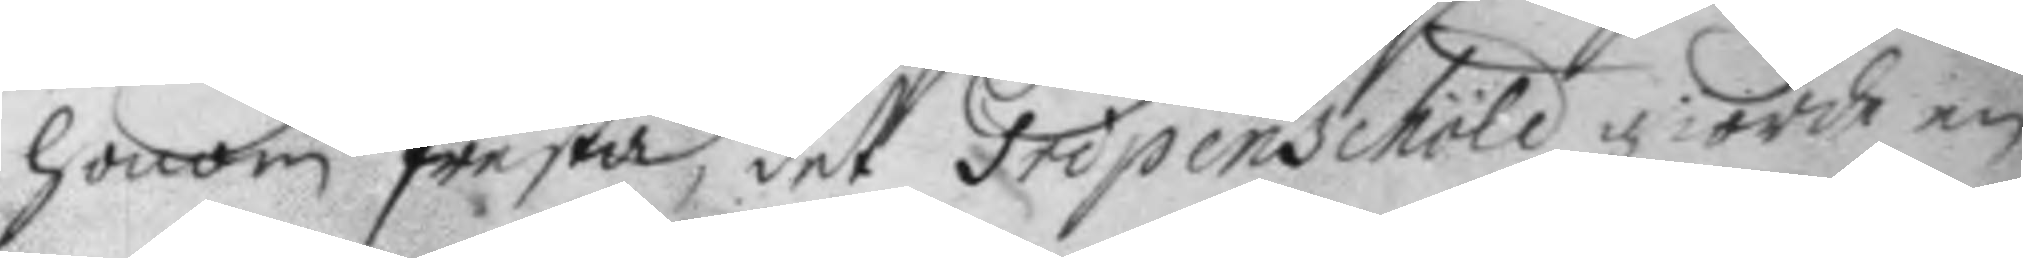honom fresta, det Gripenschöld giorde en
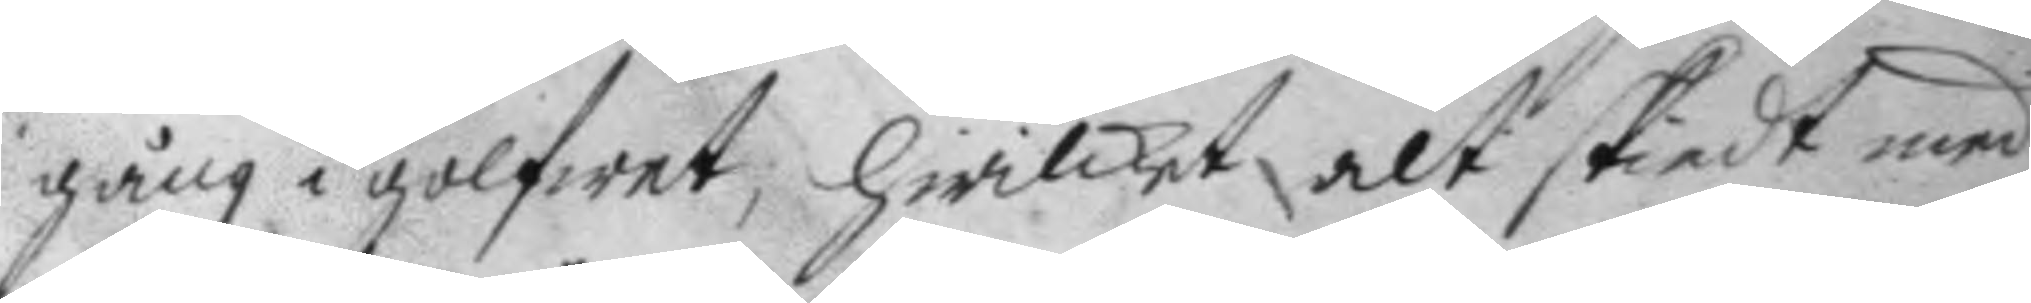gång i golfwet, hwilket alt skiedt med
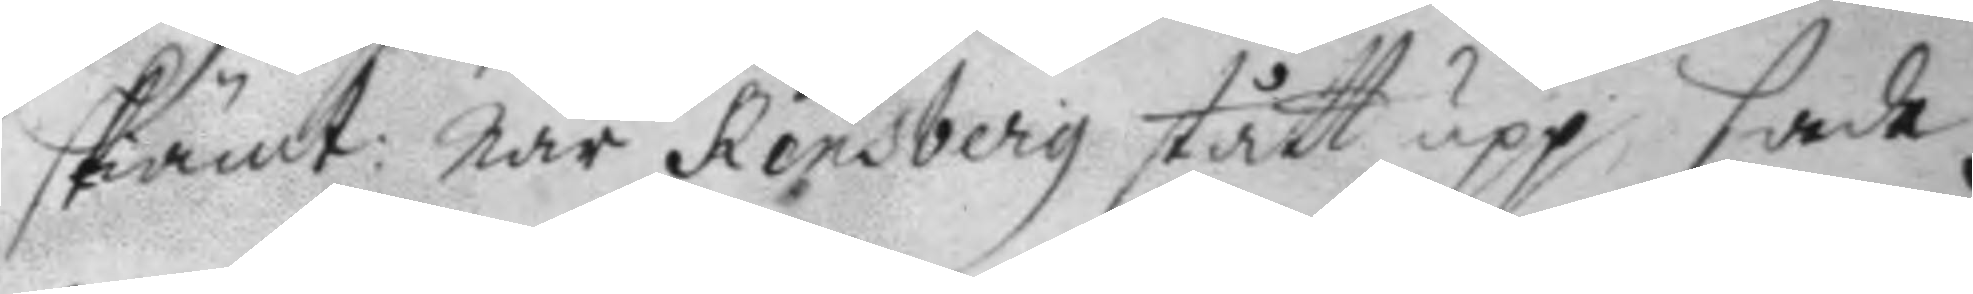skiämt: när Rensberg stått upp, sade
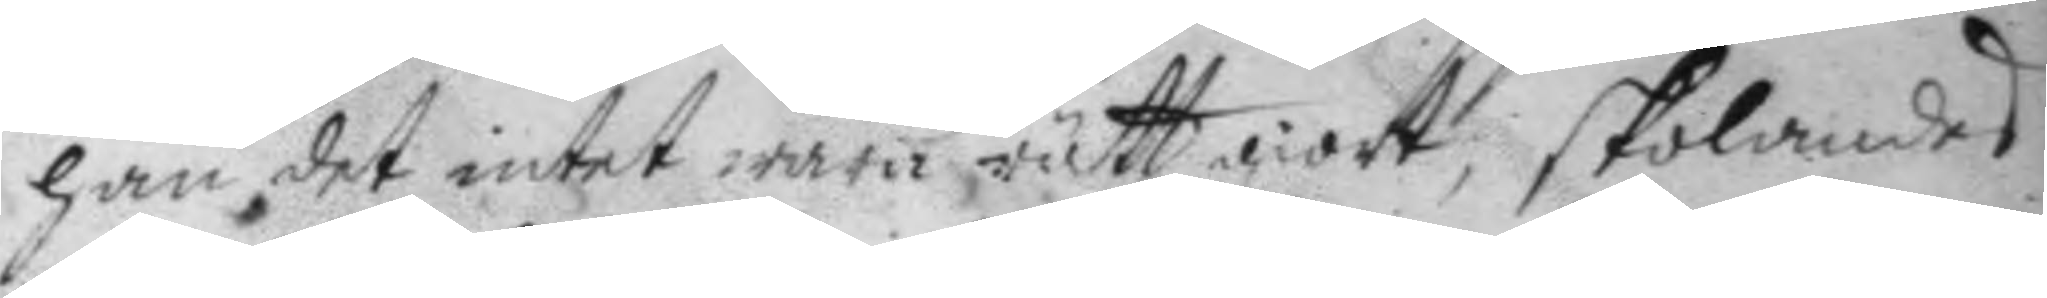han det intet wara rätt giort, skolandes
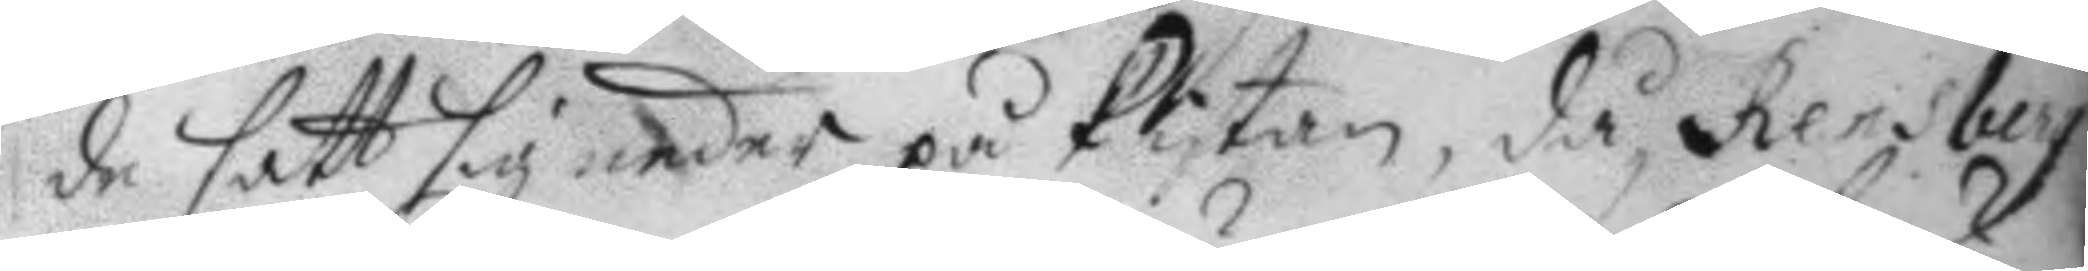de satt sig neder på Plytan, då Rensberg
